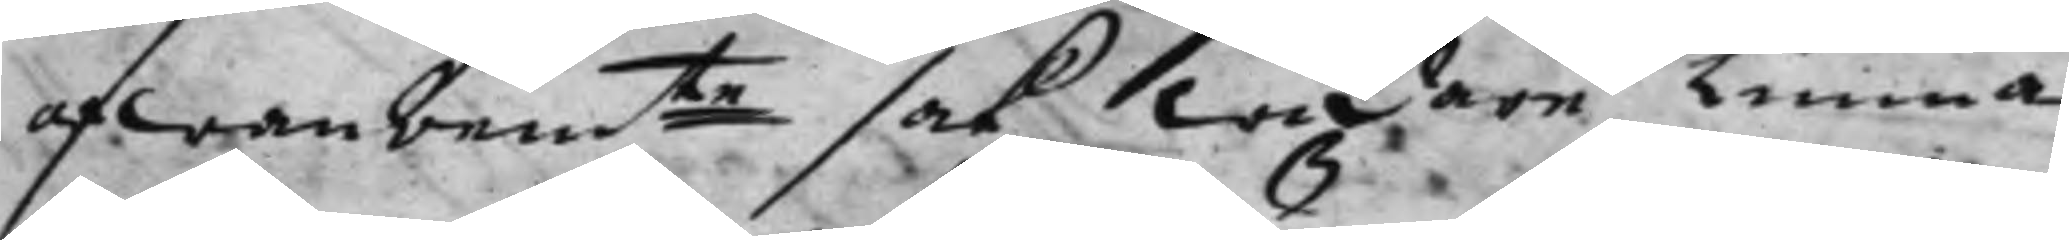ofwanbemte sak widare kunna 
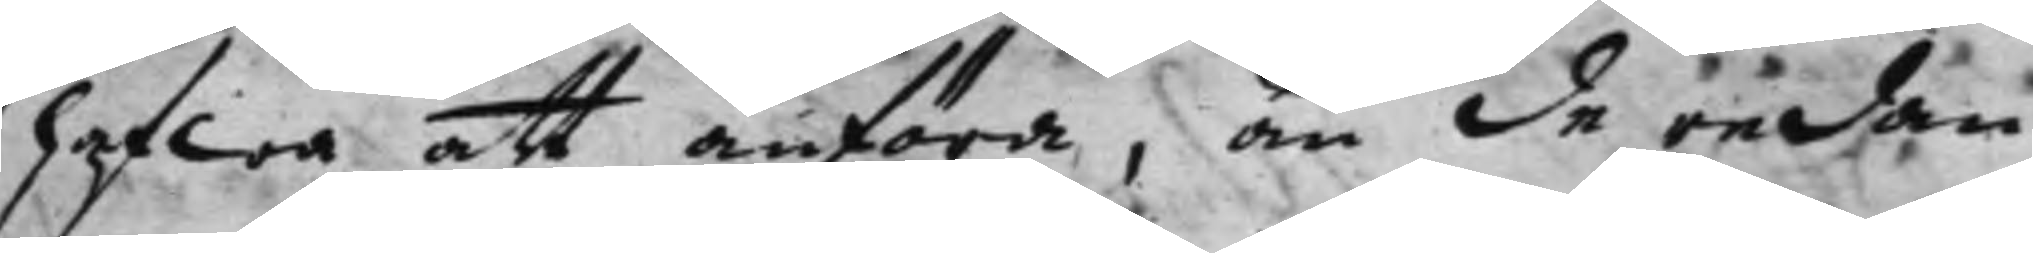hafwa att anföra, än de redan
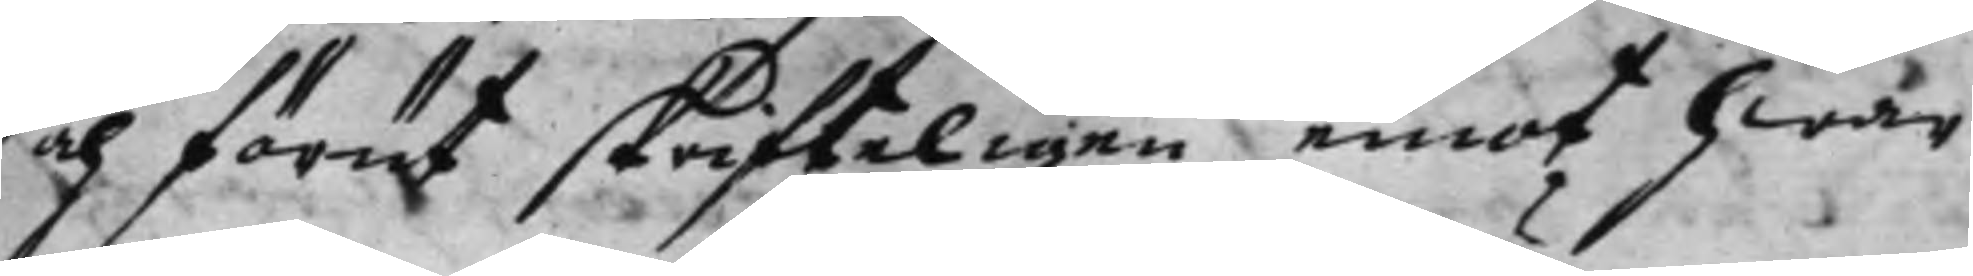och förut skrifteligen emot hwar
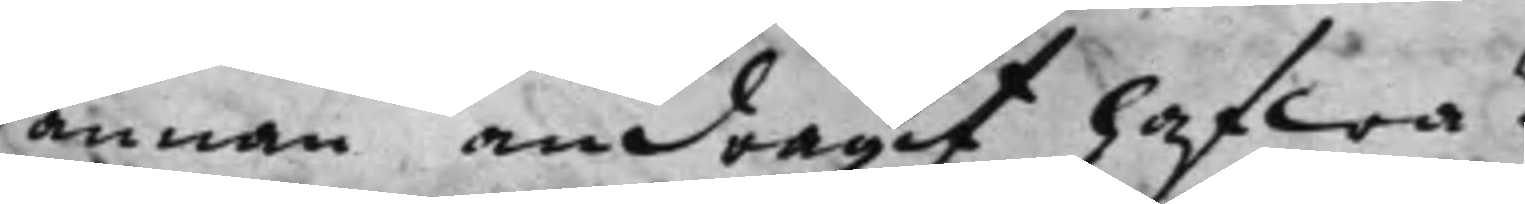annan andragit hafwa?
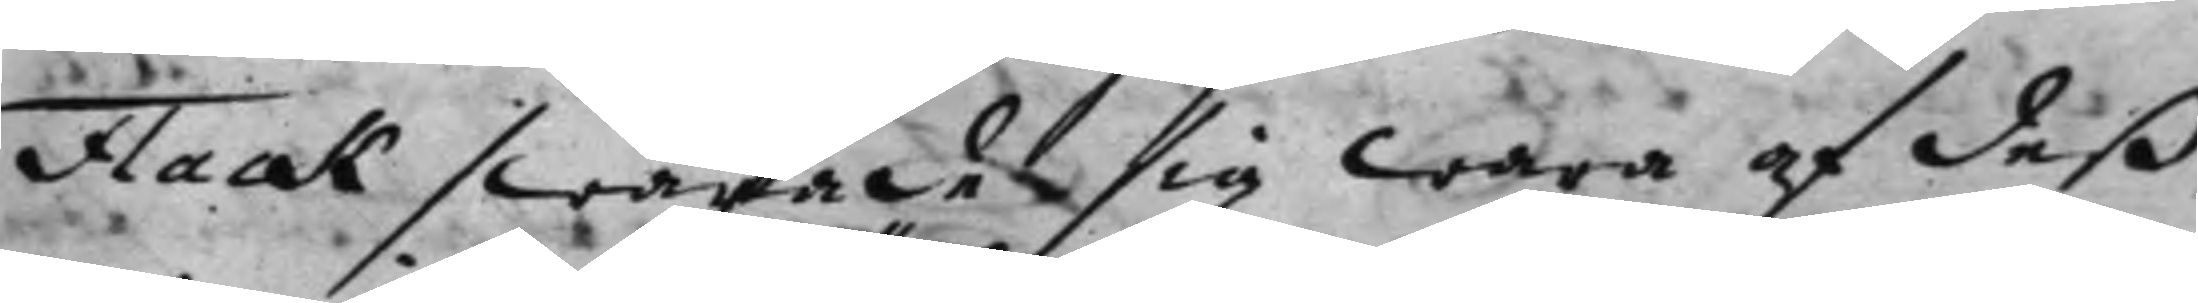Flack swarade sig wara af deß
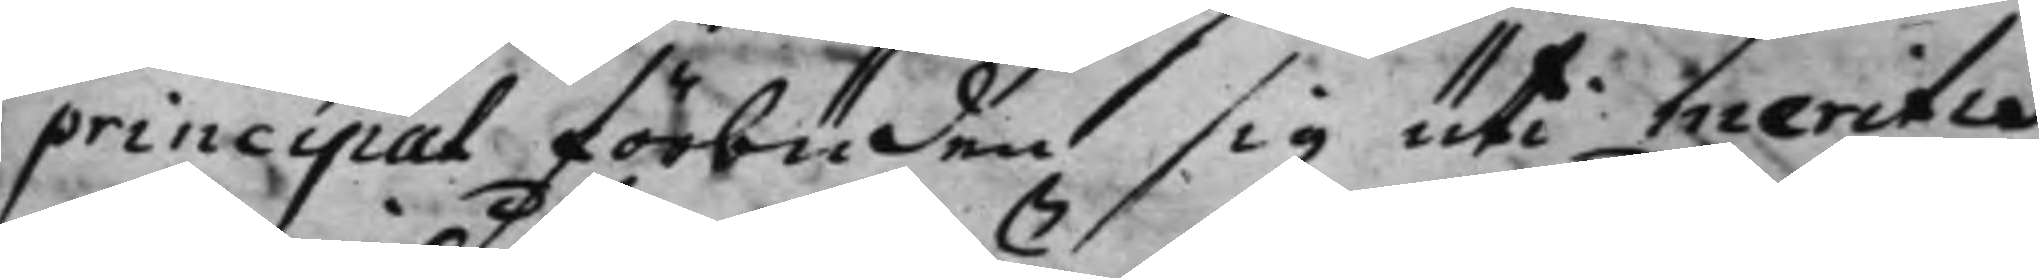principal förbuden, sig uti meritias
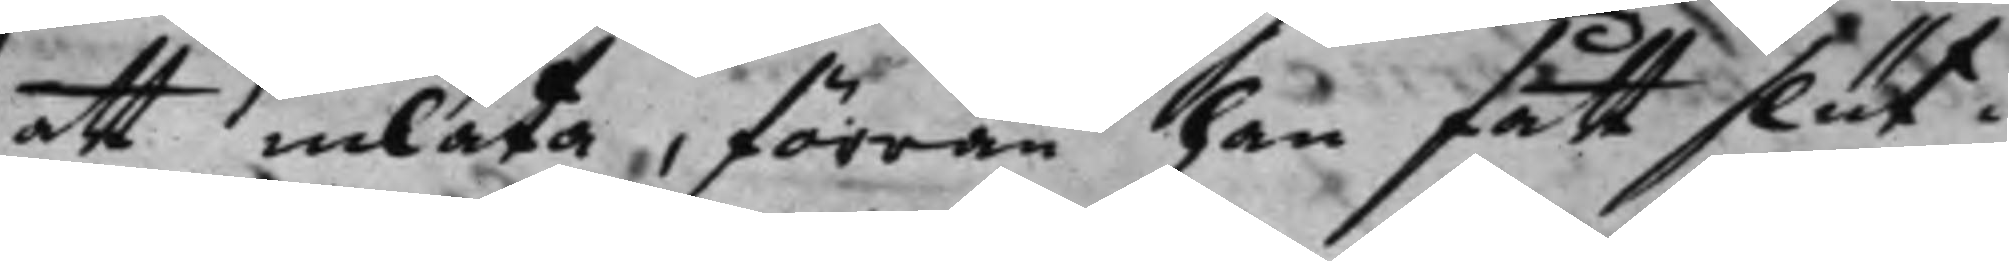att inlåta, förran han fått slut i
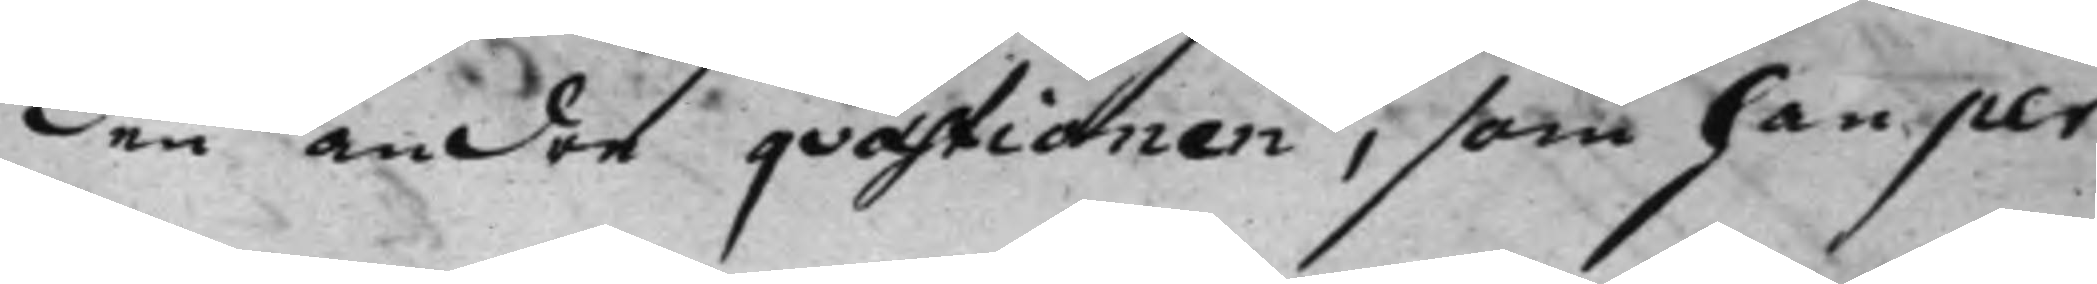den andre qvæstionen, som han per
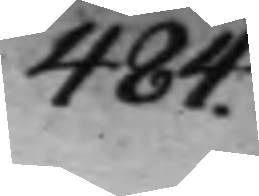484.
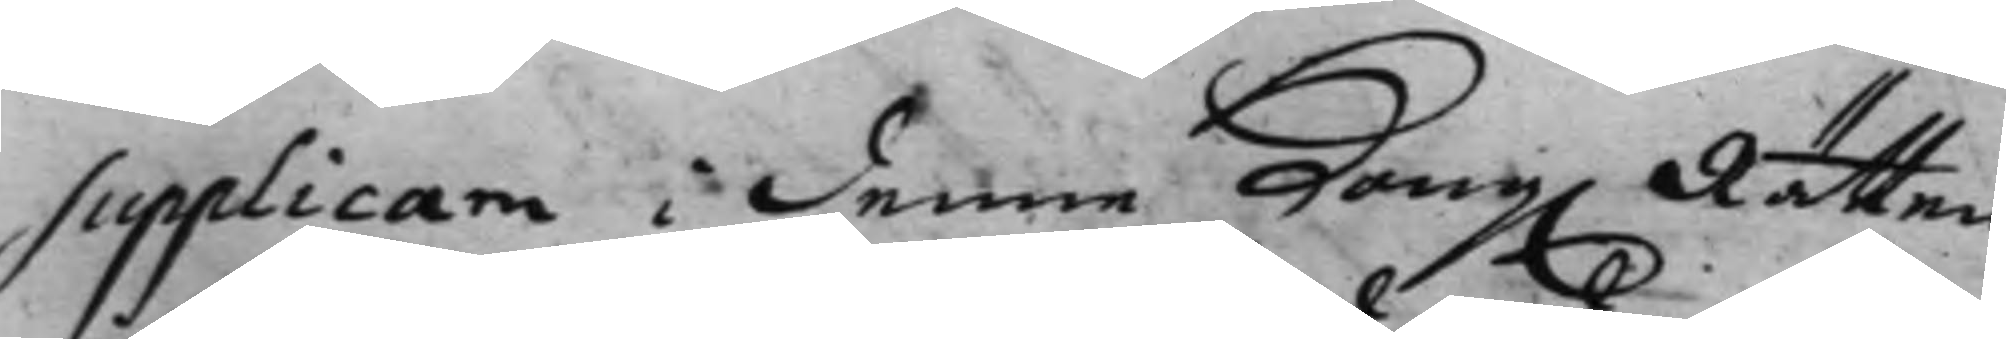Supplicam i denne Kong. Rätten 
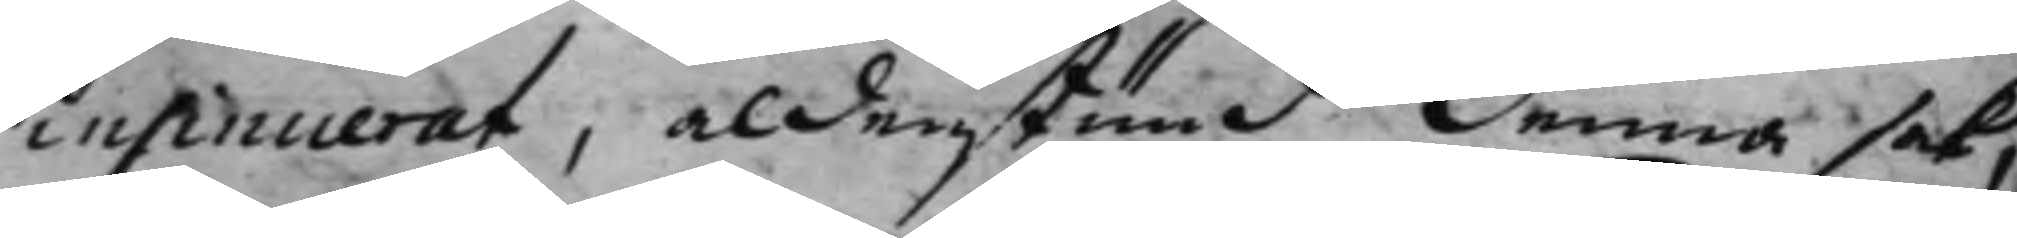insinuerat, aldenstund denna sak,
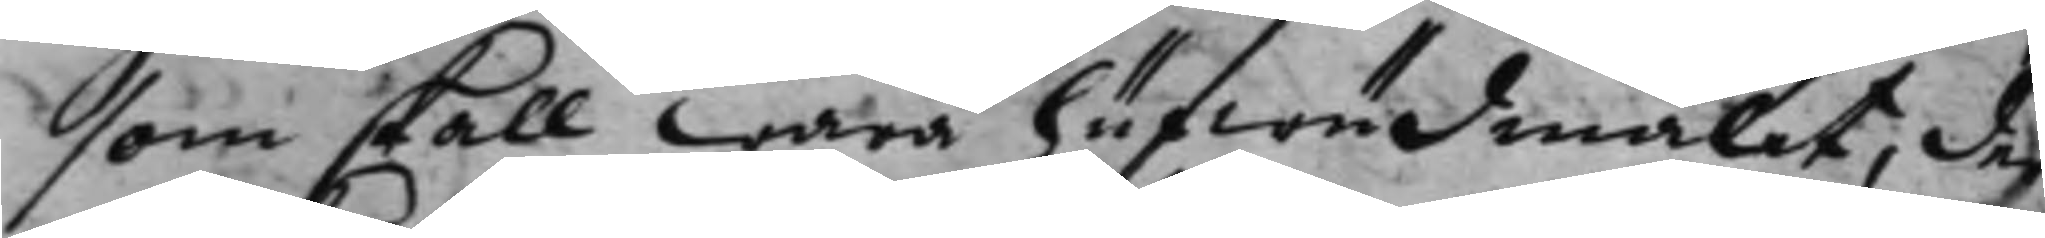som skall wara hufwudmålet, der
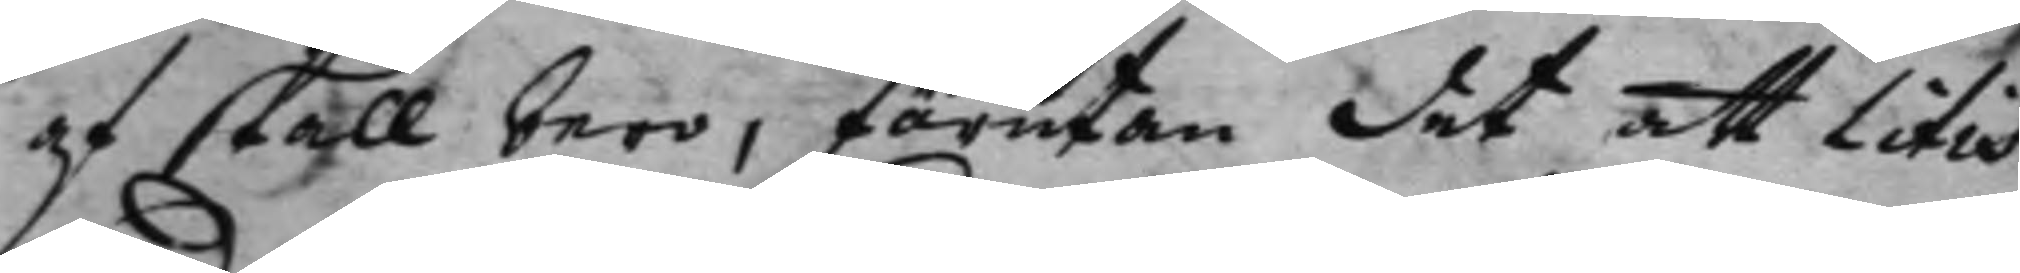af skall bero, förutan det att litis
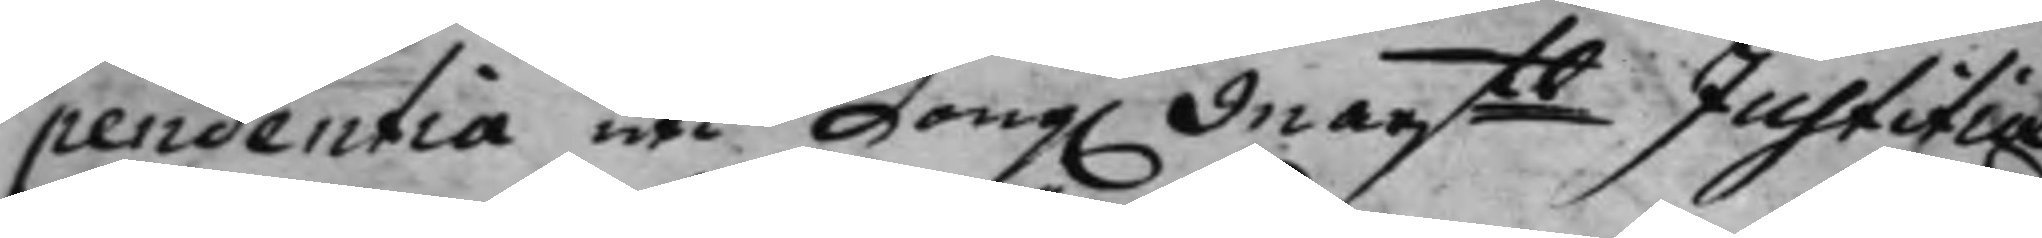pendentia uti Kong. Maijts Justitiæ 
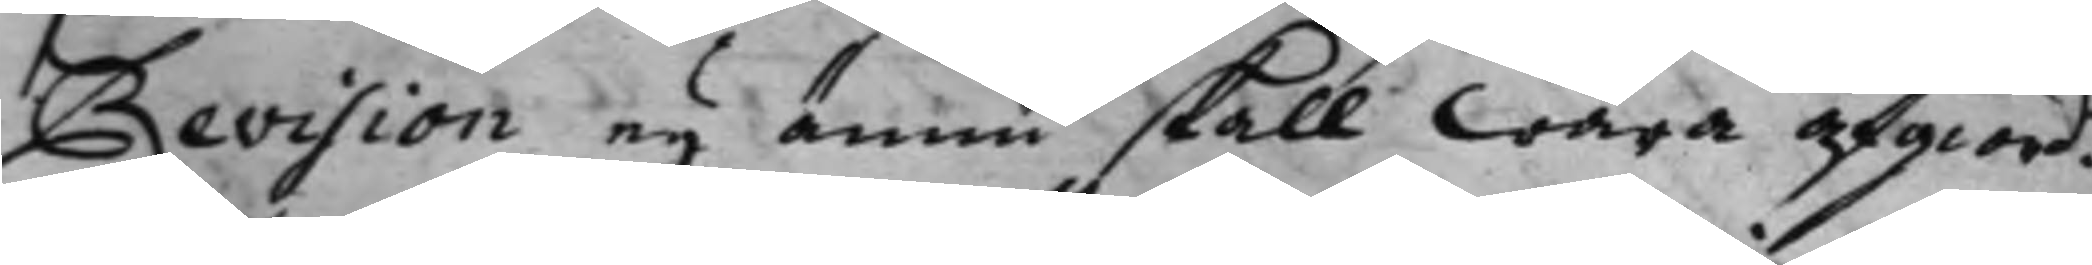Revision eij ännu skall wara afgiord.
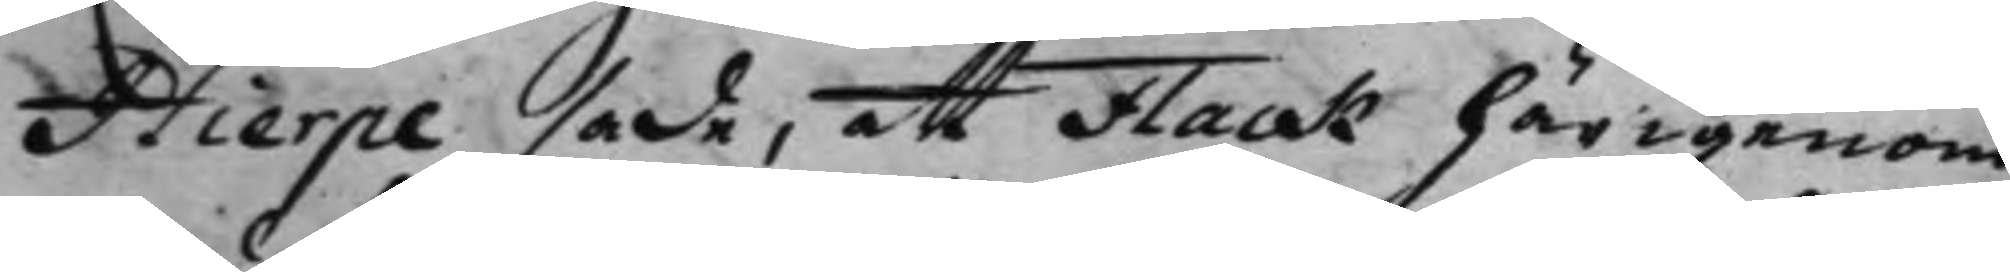Hierpe sade, att Flack härigenom
